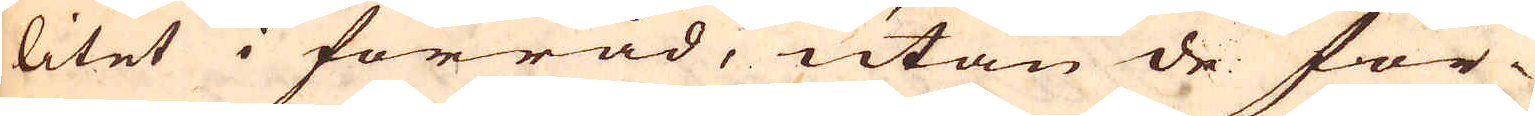litet i förråd, utan de för-
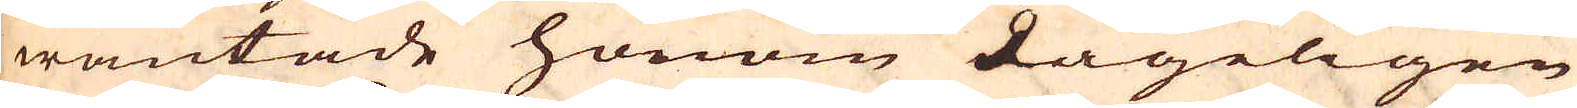wäntade honom dageligen
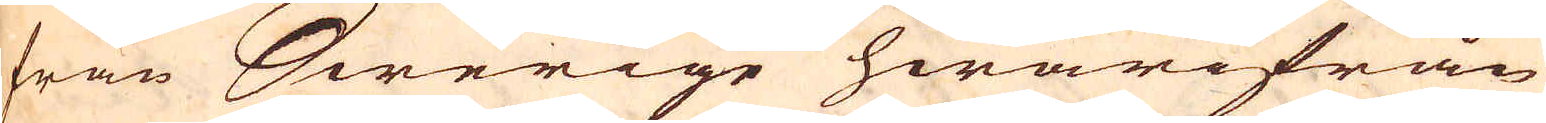från Swerige hwarifrån
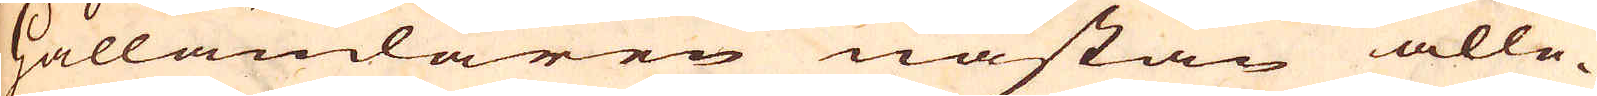Hållandaren nästan alle-
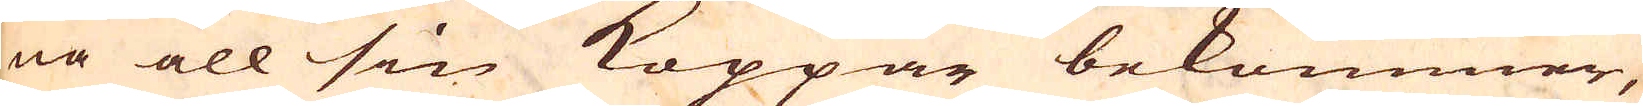na all sin Koppar bekommer,
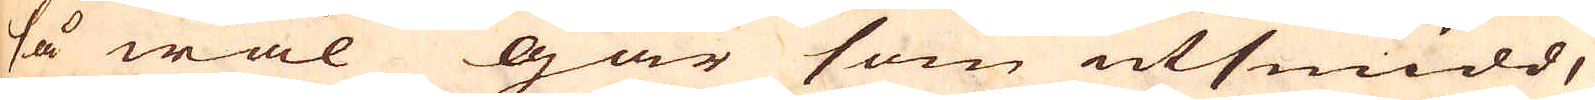så wäl går som utsmidd,
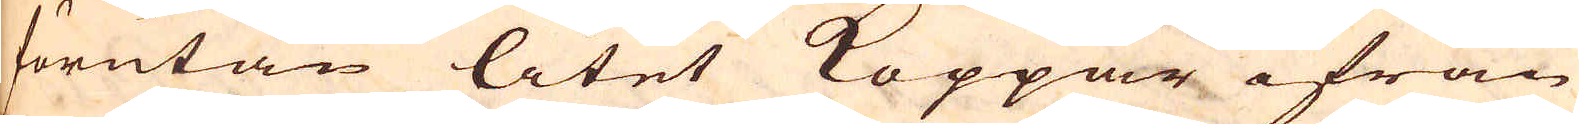förutan litet Koppar ifrån
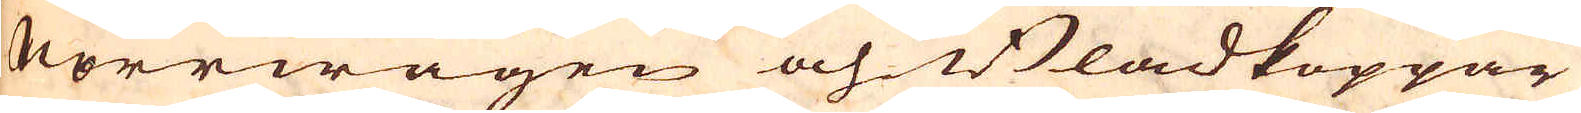Norrwägen och Bladkoppar
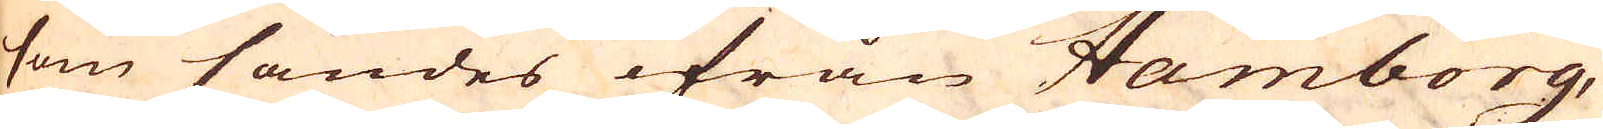som sändes ifrån Hamborg,
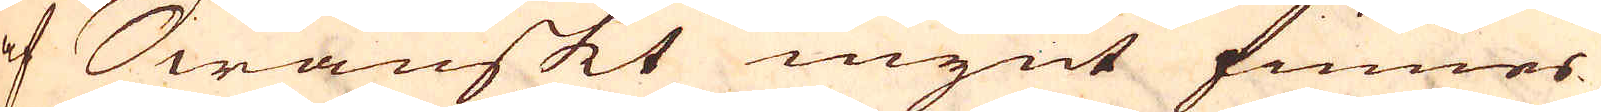af Swänskt mynt finnes
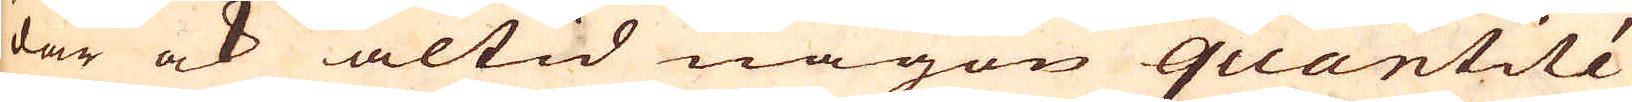där ock altid någon quantité
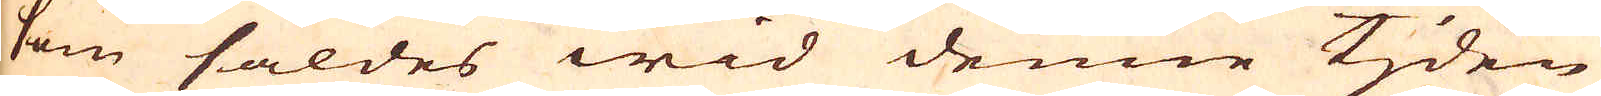som såldes wid denne tjden
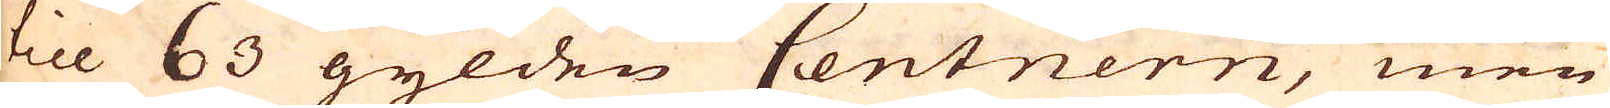till 63 gylden Centnern, men
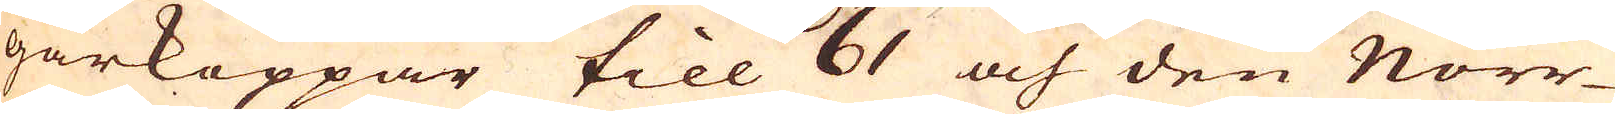gårkoppar till 61 och den Norr-
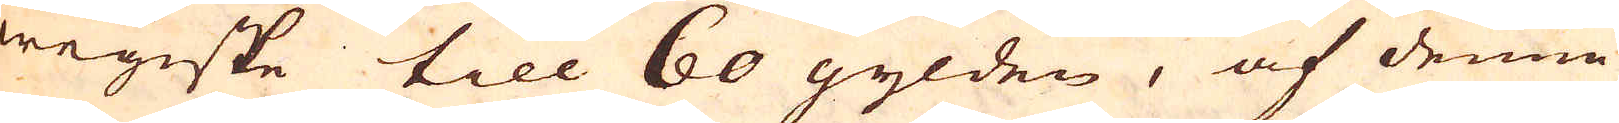wegiske till 60 gylden, af denne
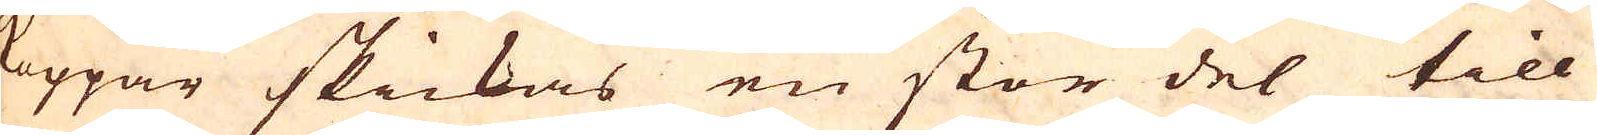koppar skickas en stor del till
